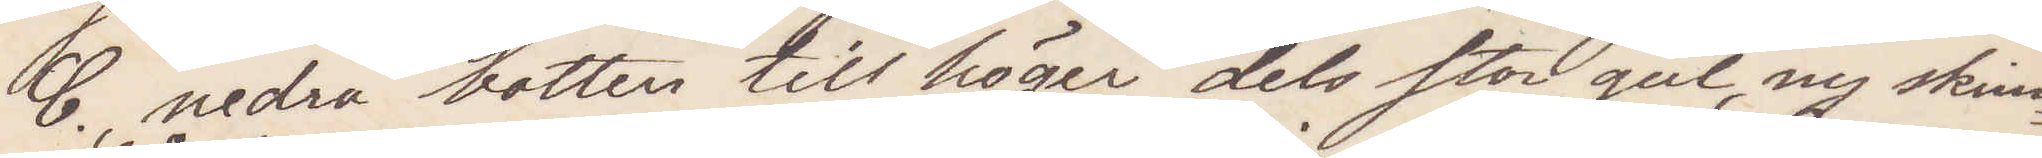C., nedra botten till höger" dels stor, gul, ny skinn¬
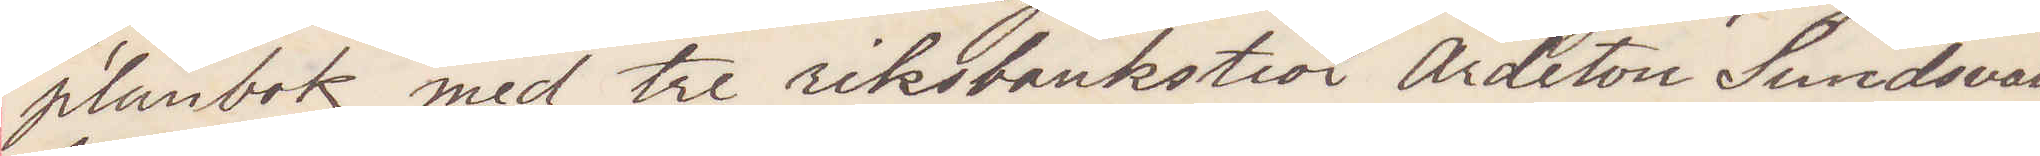plånbok med tre riksbankstior Aderton Sundsvalls¬
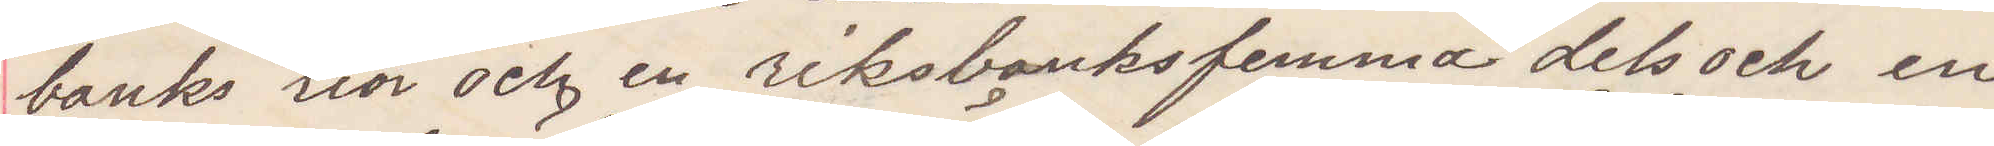banks tior och en riksbanksfemma dels ock en
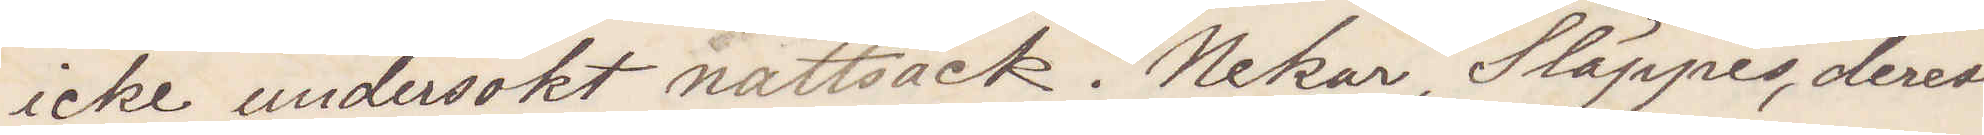icke undersökt nattsäck. Nekar, Släppes, derest
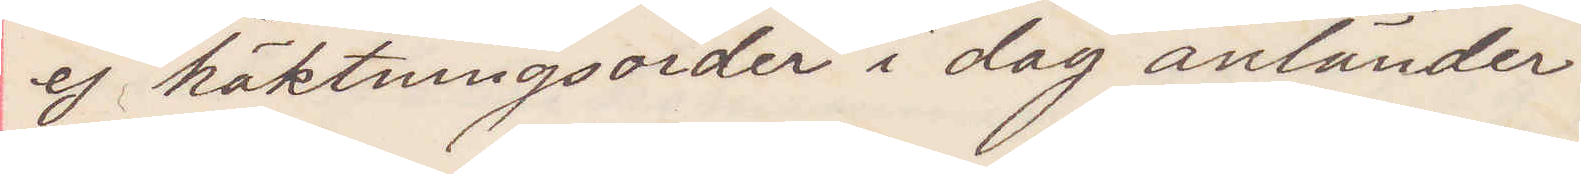ej häktningsorder i dag anländer.
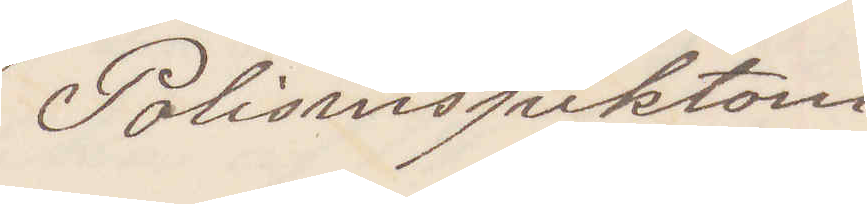Polisinspektorn
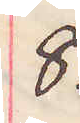8.
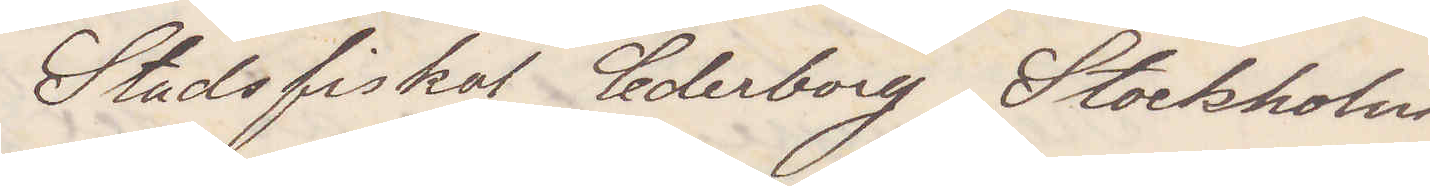Stadsfiskal Cederborg Stockholm
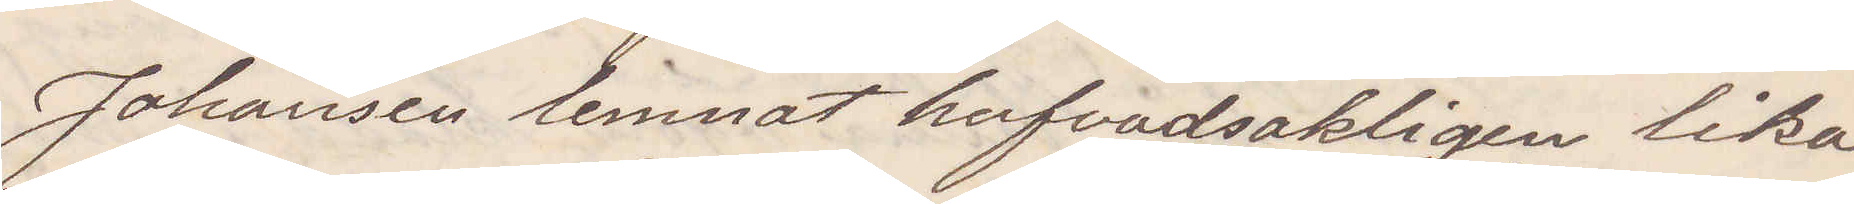Johansen lemnat hufvudsakligen lika
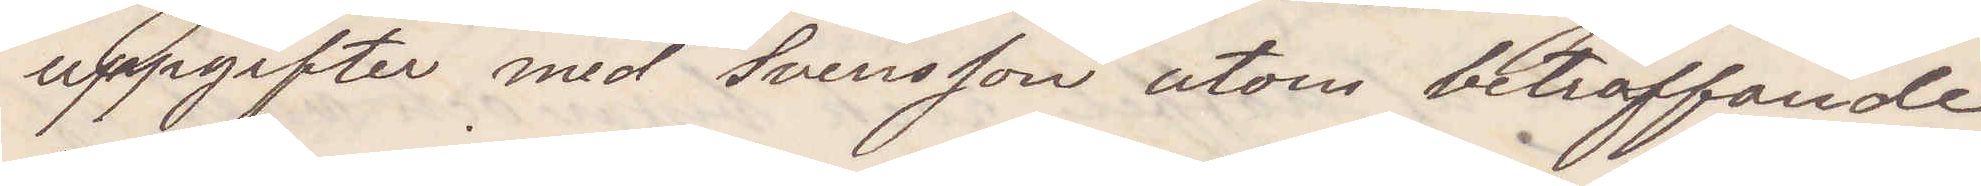uppgifter med Svensson utom beträffande
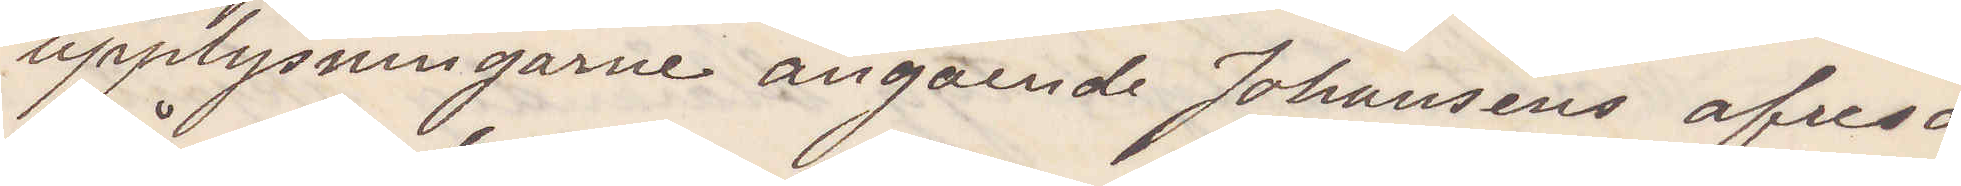upplysningarne angående Johansens afresa
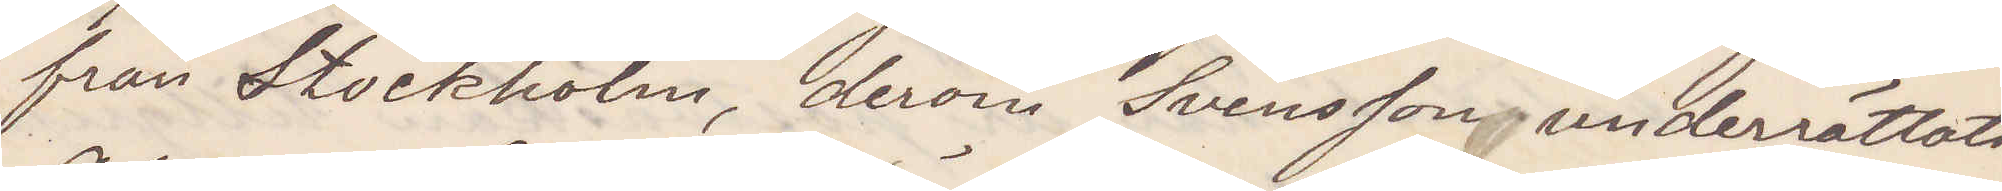från Stockholm, derom Svensson underrättats.
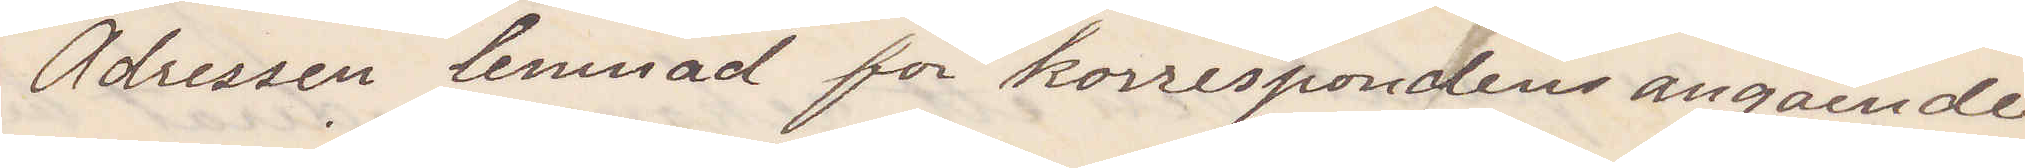Adressen lemnad för korrespondens angående
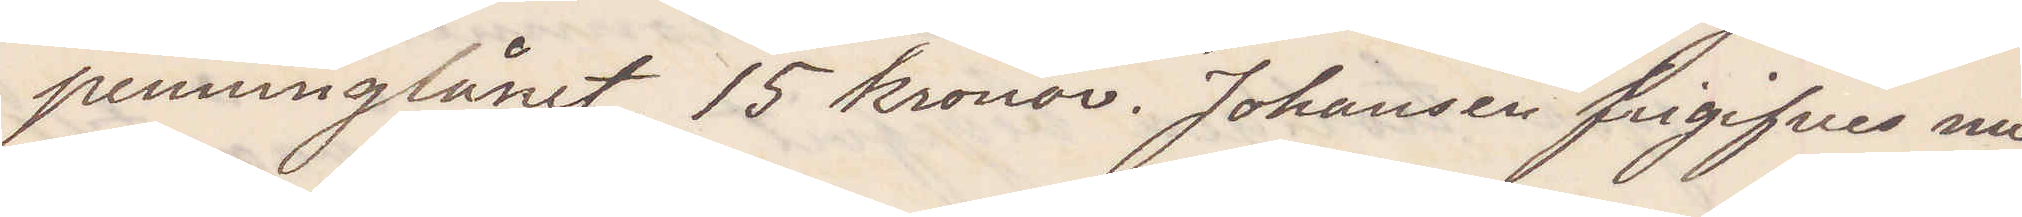penninglånet, 15 kronor. Johansen frigifves nu
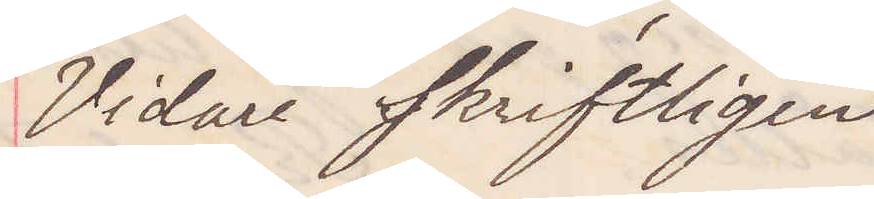Vidare skriftligen
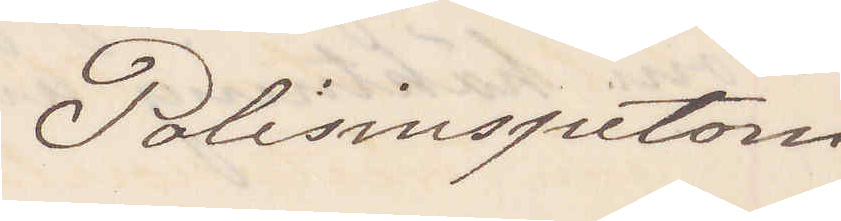Polisinspektorn
